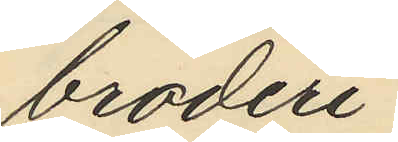broderi
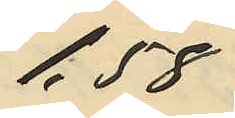1,58
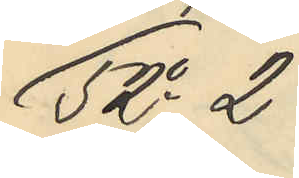52o 2
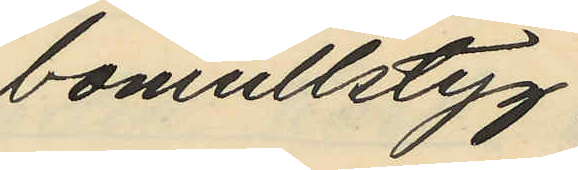bomullstyg
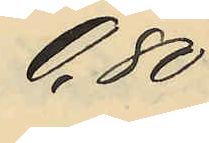0,80
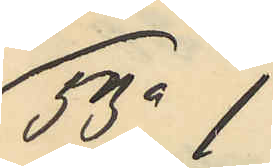53o 1
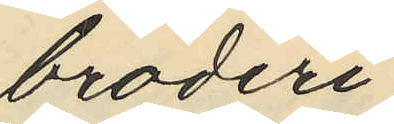broderi
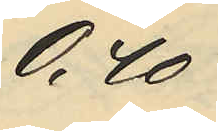0,40
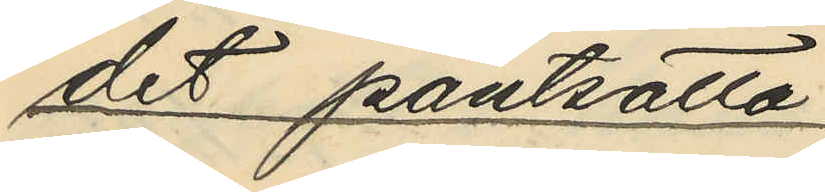det pantsatta
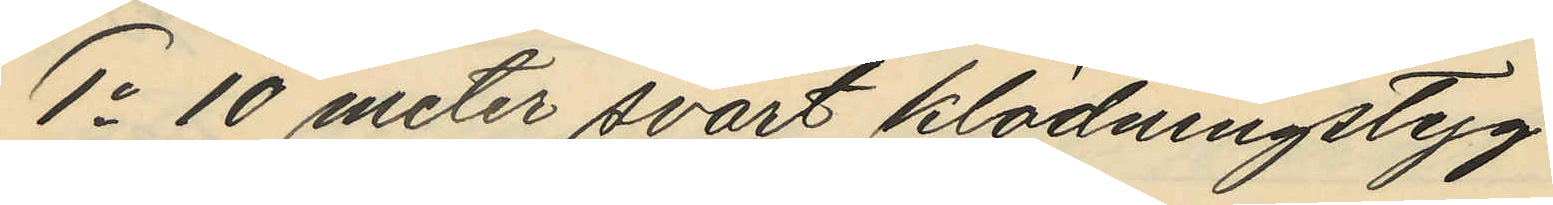1o 10 meter svart klädningstyg
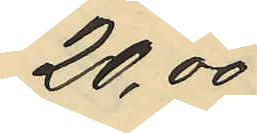20,00
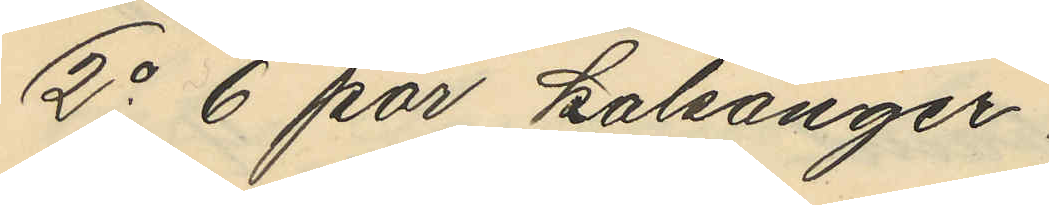2o 6 par kalsonger
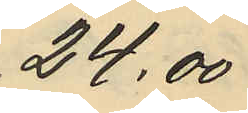24,00
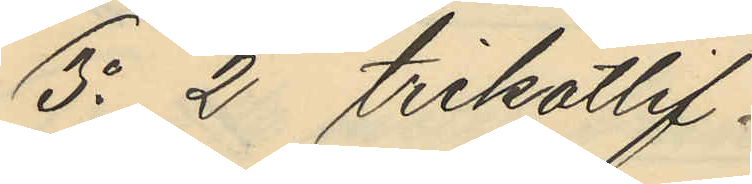3o 2 trikålif
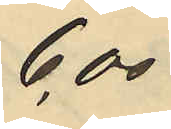6,00
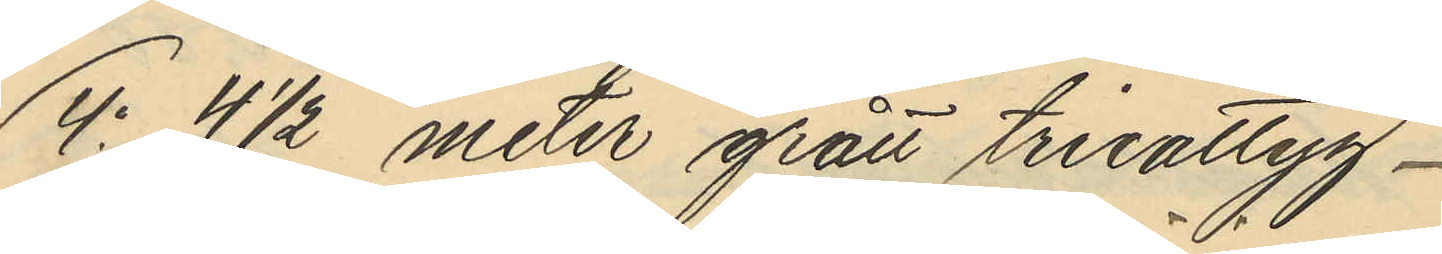4o 4 1/2 meter grått trikåtyg
